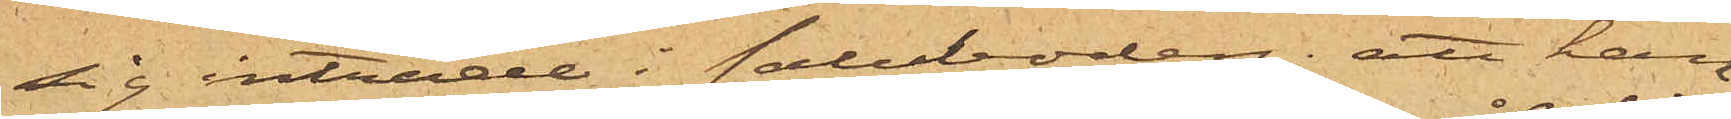sig inträde i saluboden; att han
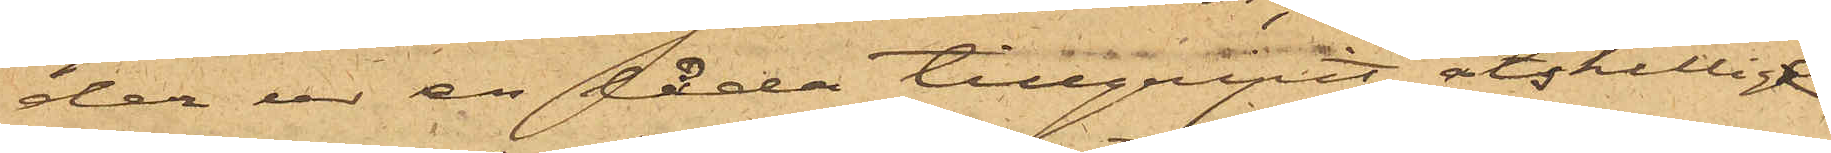der ur en låda tillgripit åtskillige
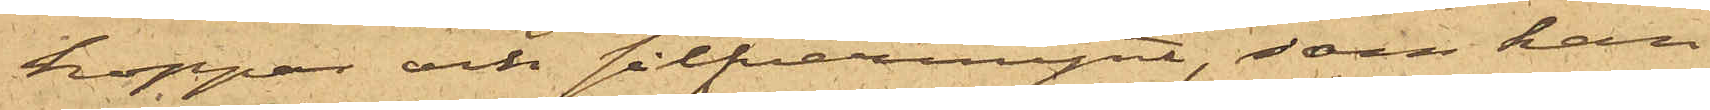koppar och silfvermynt, som han
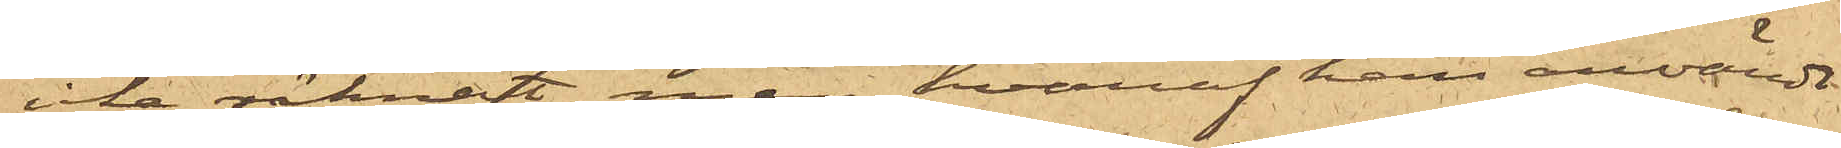icke räknat, men hvaraf han användt
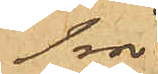1rd
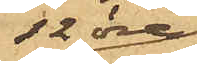12 öre.
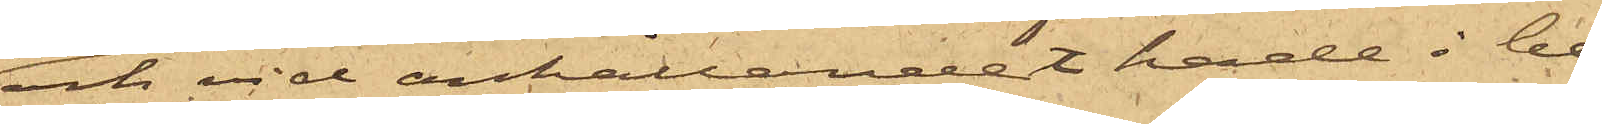och vid anhållandet hade i be¬
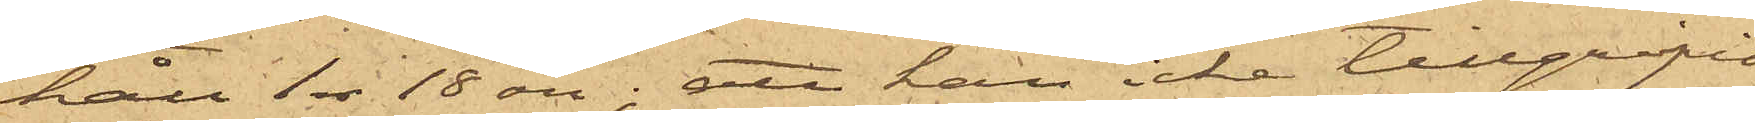håll 1 rdr 18 öre; att han icke tillgripit
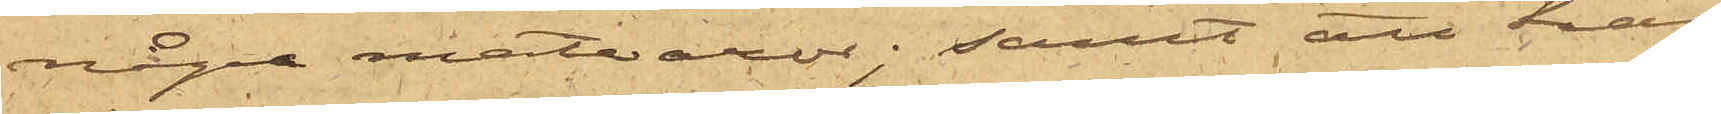några matvaror; samt att han
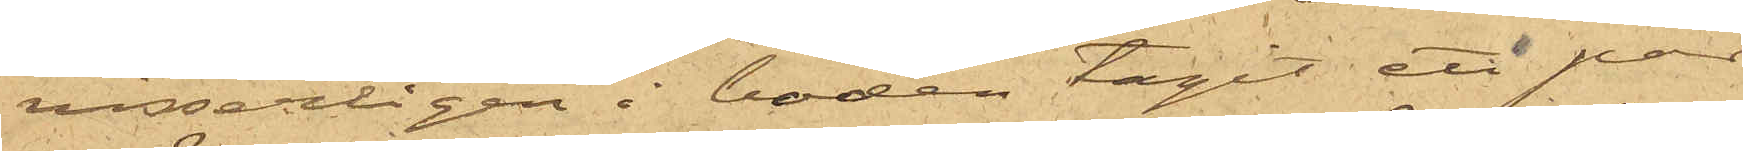visserligen i boden tagit ett par
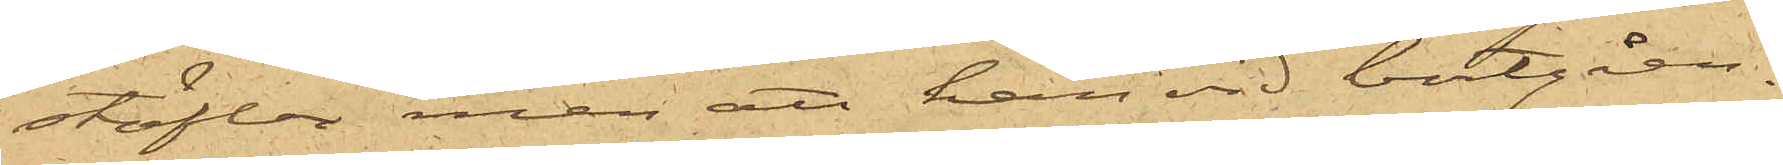stöflor men att han vid bortgåen¬
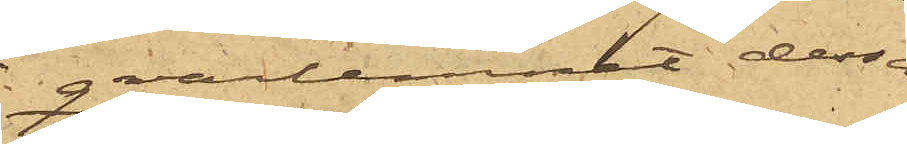qvarlemnet dessa
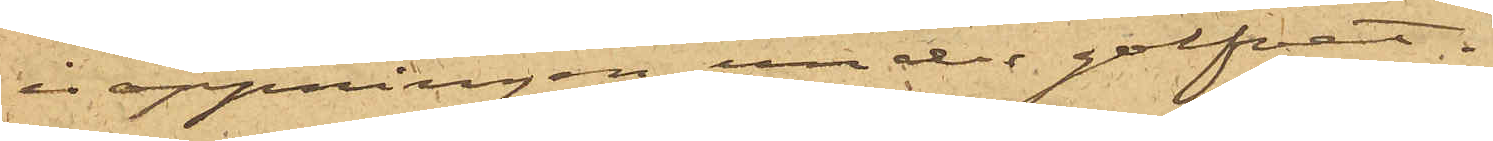i öppningen under golfvet.
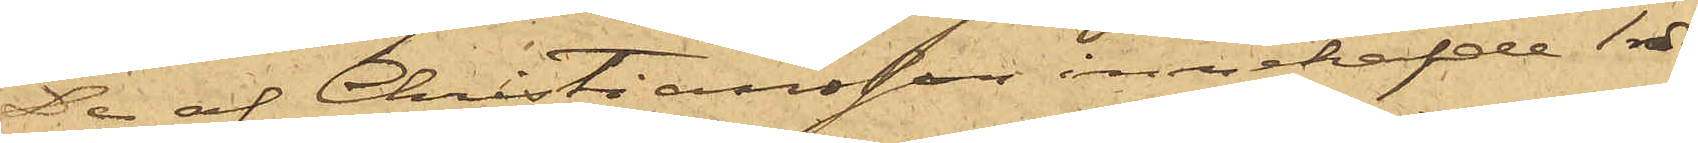De af Christiansson innehafde 1 rdr
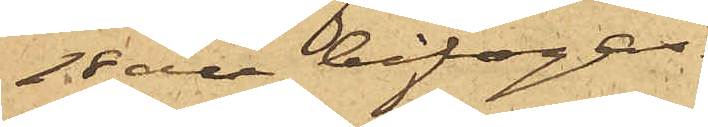18 öre bifogas.
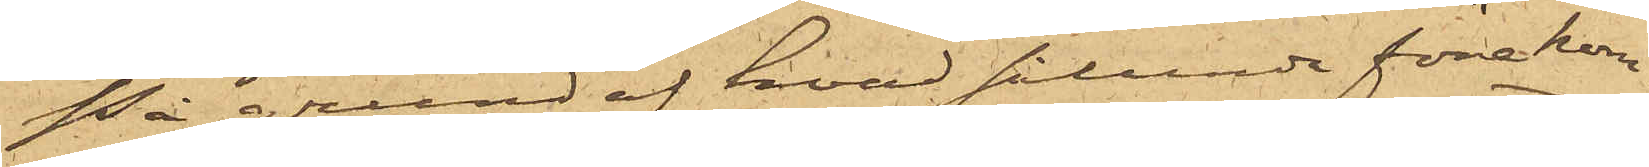På grund af hvad sålunda förekom¬
